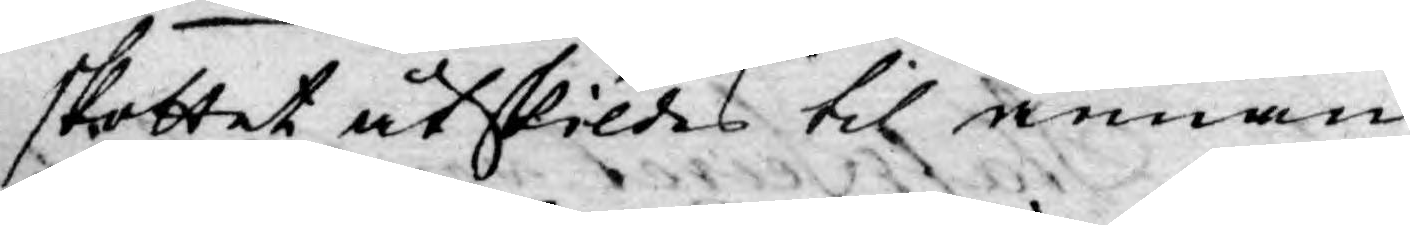skottet åtskildes til annan
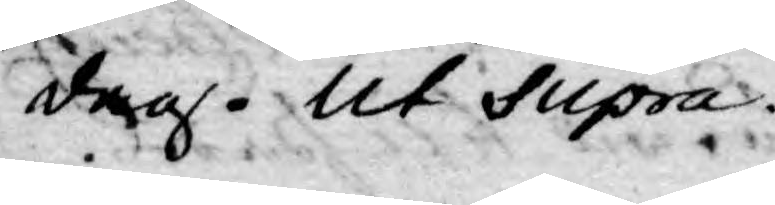dag. Ut Supra.
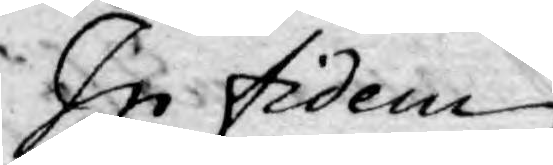In fidem
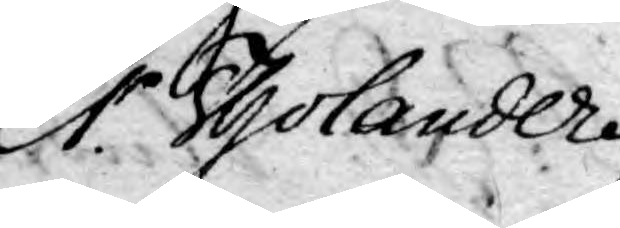Er. Tholander
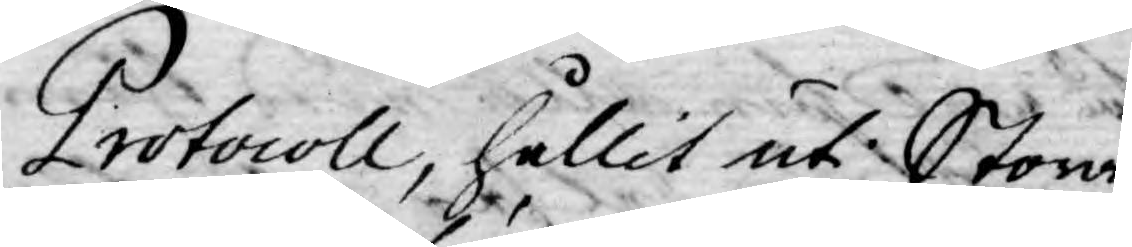Protocoll, hållit uti Stora
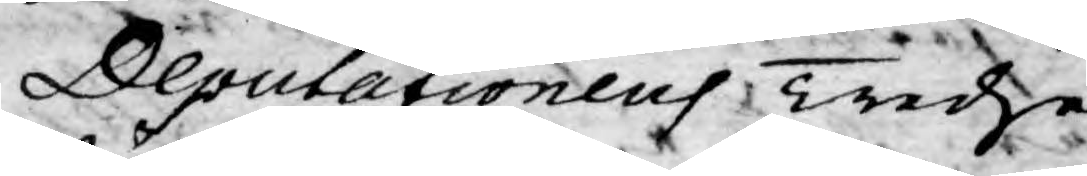Deputationens Tredje
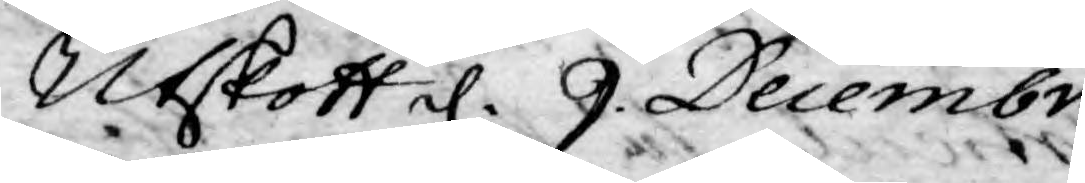Utskott d. 9. Decembr.
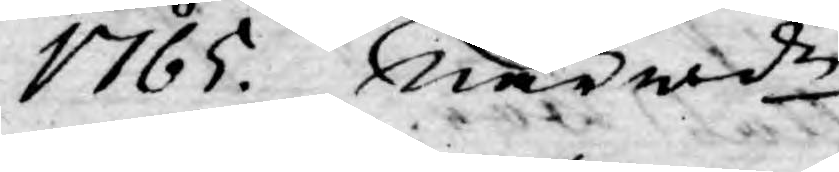1765. Närwde.
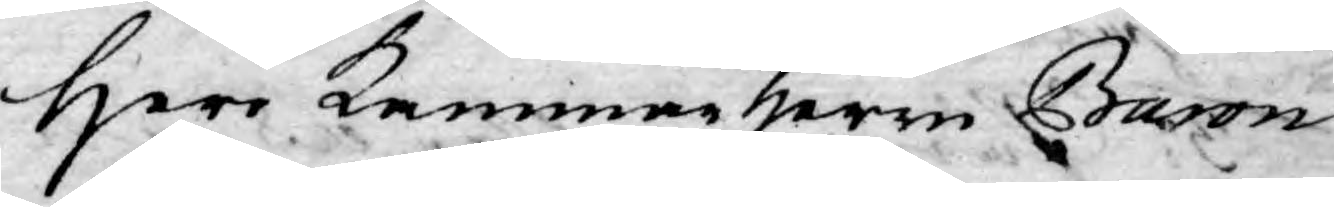Herr Kammarherre Baron
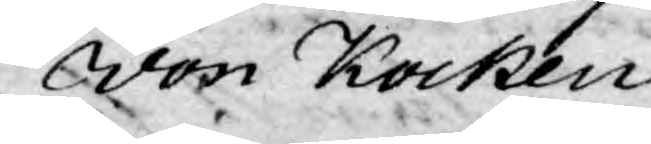von Kocken,
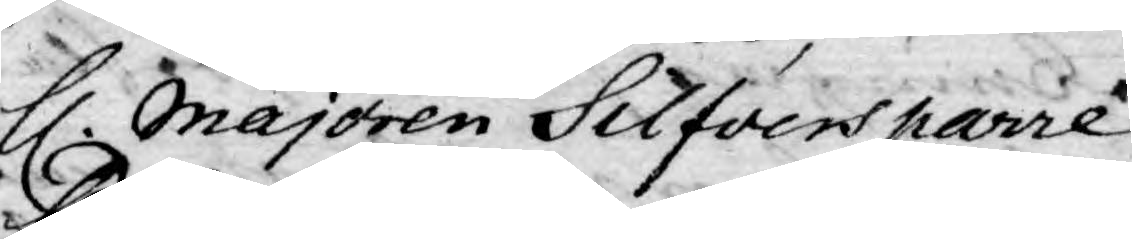H. Majoren Silfversparre,
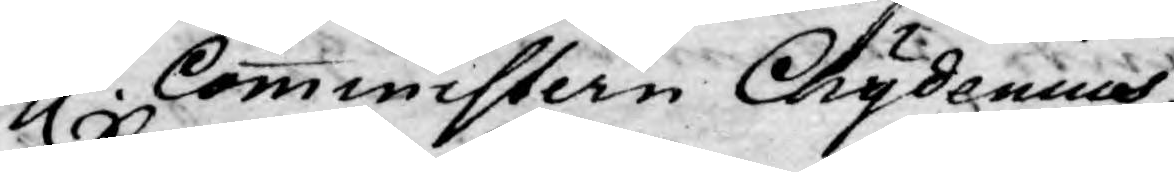H. Comministern Chydenius,
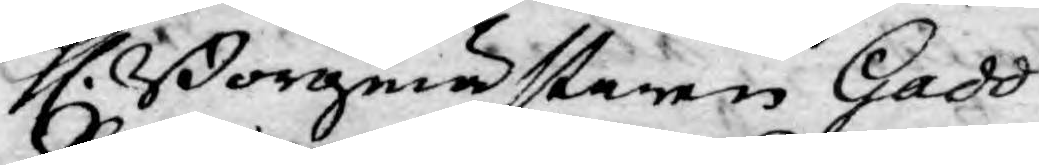H. Borgmästaren Gadd
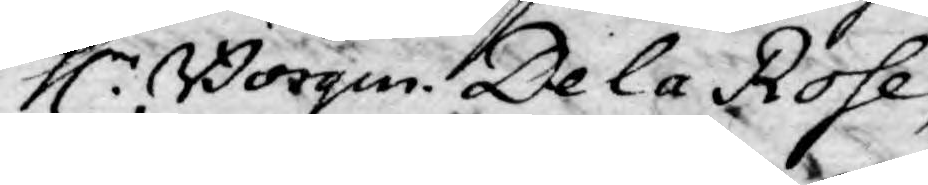H. Borgm. De la Rose,
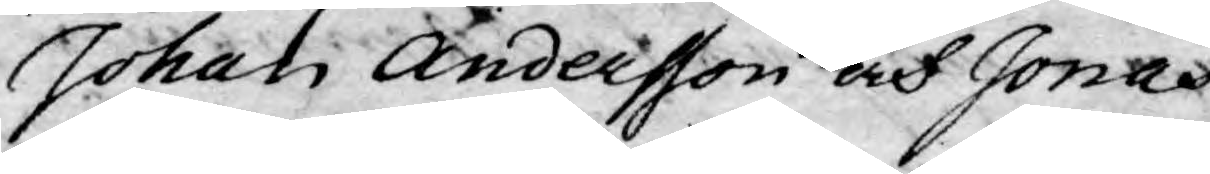Johan Andersson och Jonas
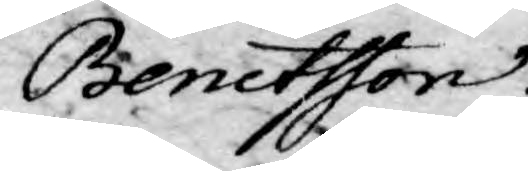Benctsson.
